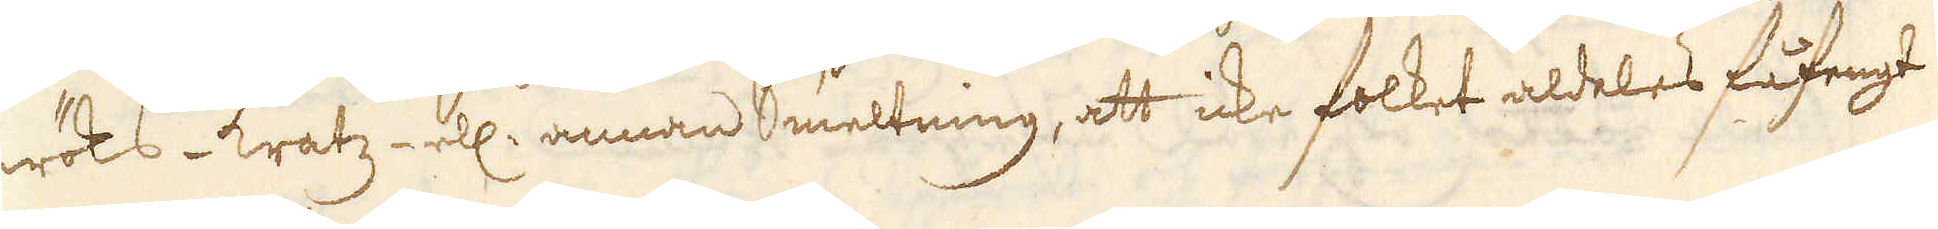teröks-kratz ell: annan Smeltning, att icke folket aldeles fåfengt
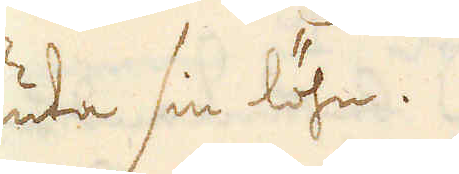niuta sin löhn.
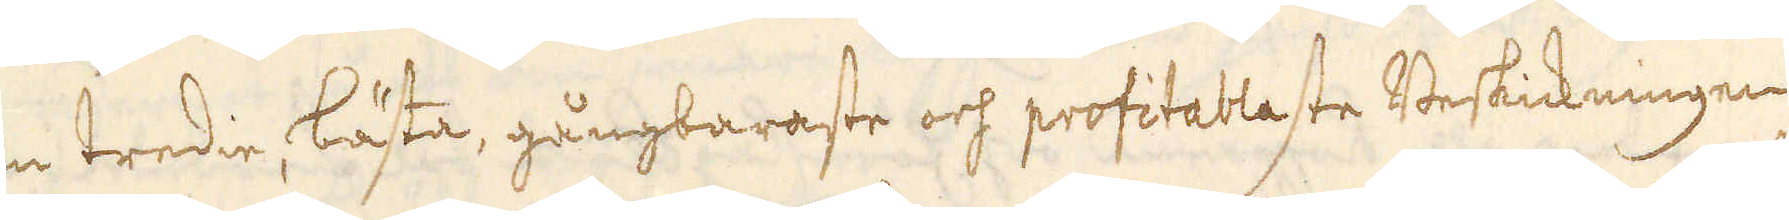Den tredie bästa, gångbaraste och profitableste Beskickningen
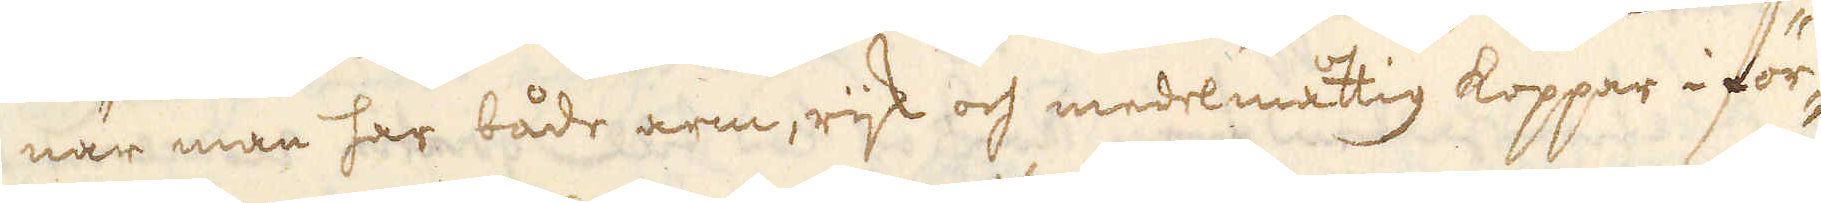när man har både arm, rijk och medelmåttig koppar i för-
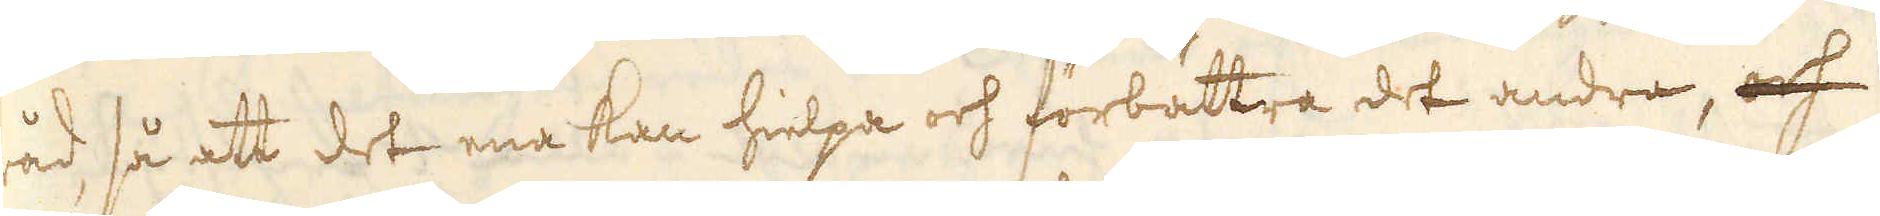råd så att det ena kan hielpa och förbättra det andra, och
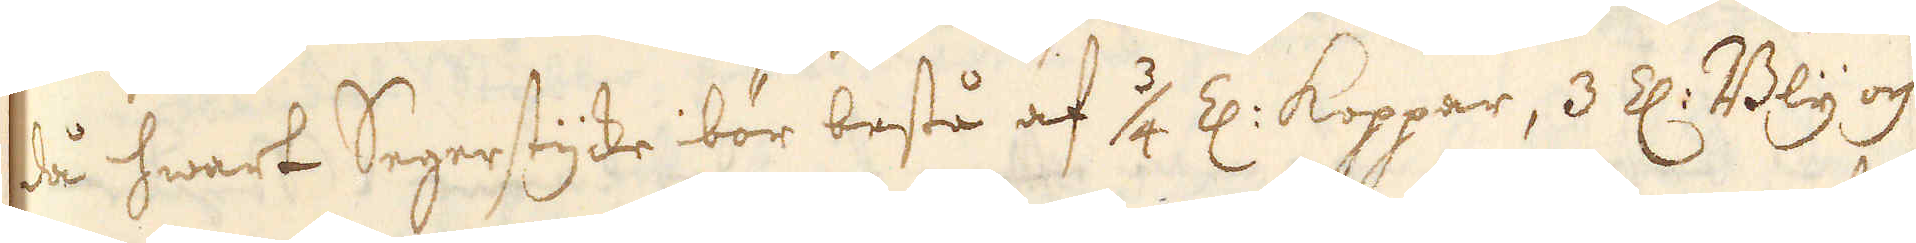så hwart Segerstyke bör bestå af 3/4 Z: Koppar, 3 Z: Bly och
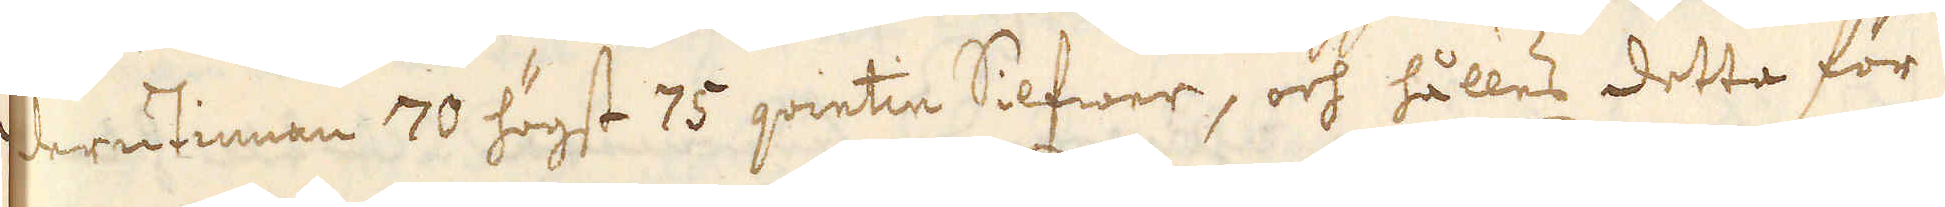derutinnan 70 högst 75 qvintin Silfwer, och hålles detta för
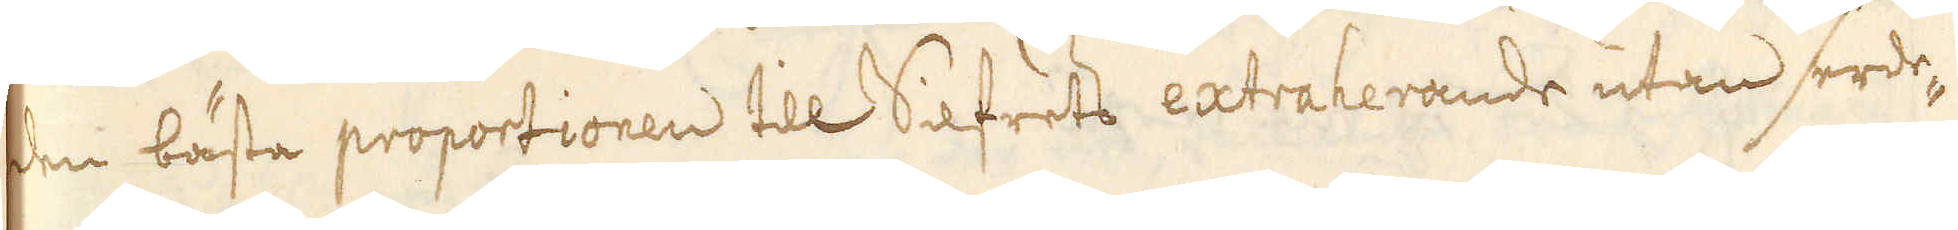den bästa proportionen till Silfrets extraherande utan serde-
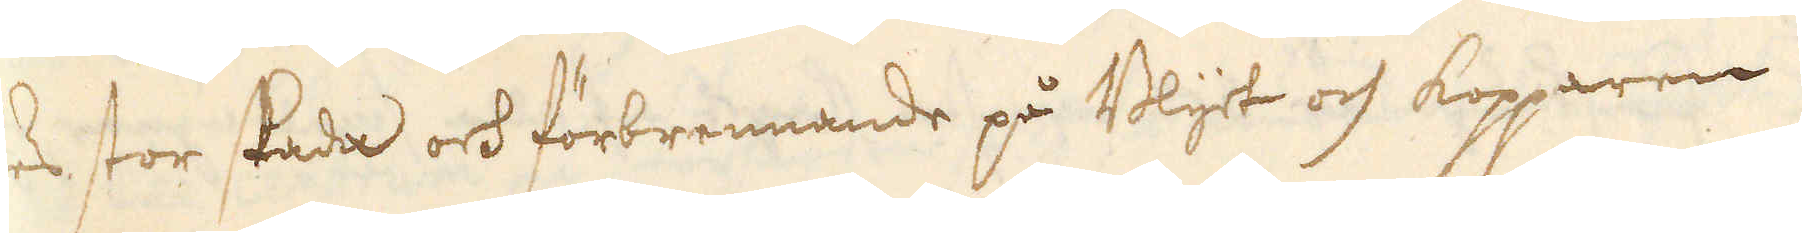les stor stada och förbrennande på Blyet och kopparen.
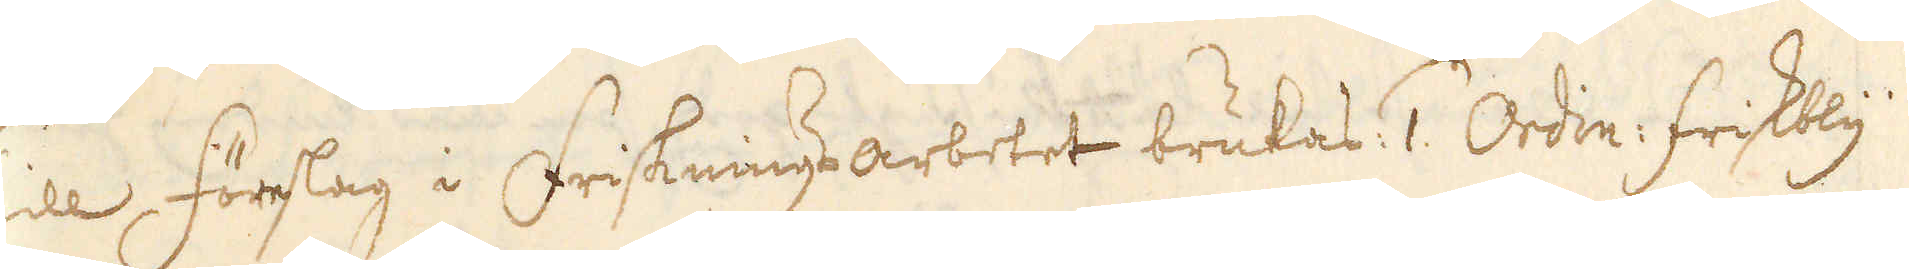Till, förslag i Frijsknings-arbetet brukas 1. Ordin: friskbly
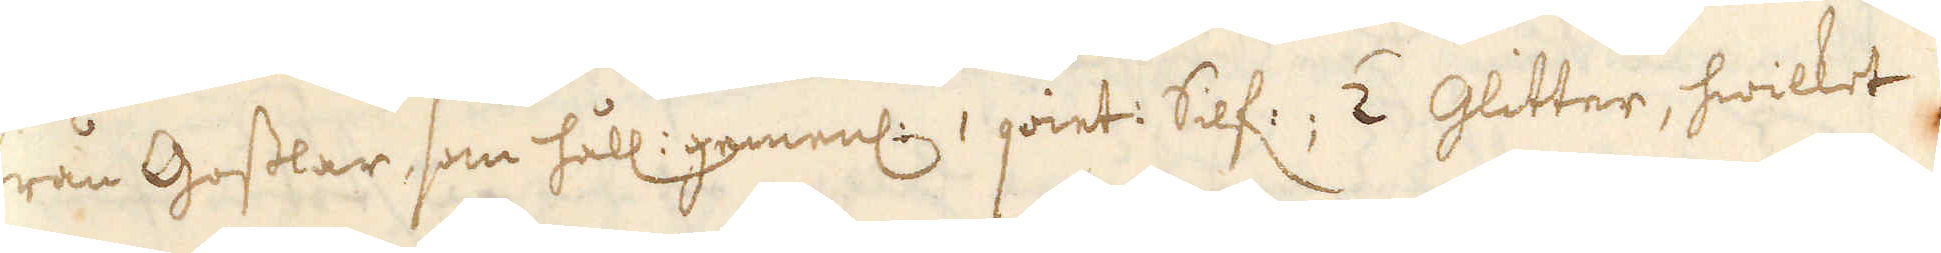från Gosslar, som håll: gemenl: 1 qvint: Silf:; 2 Glitter, hwilket
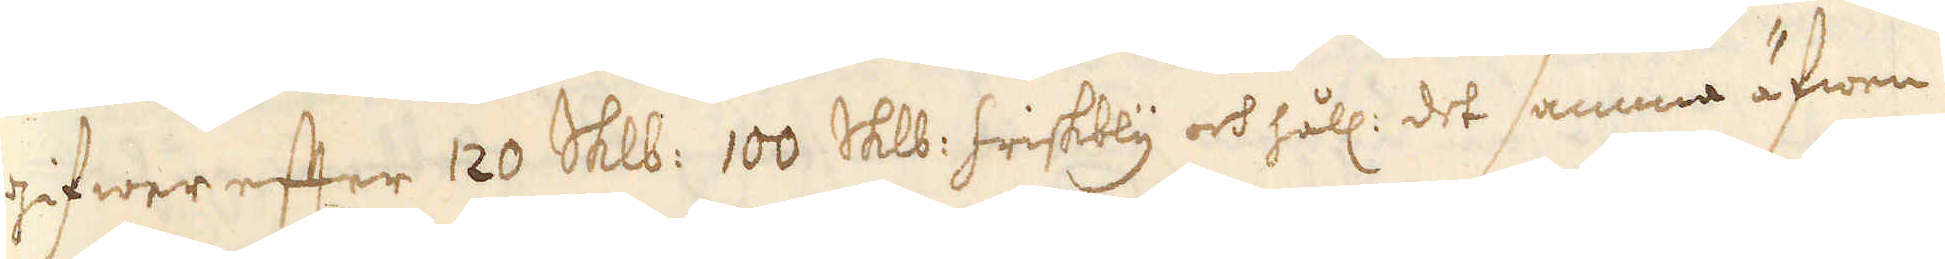gifwer efter 120 Skålpund 100 Skålpund friskbly och håll: det samma äfwen
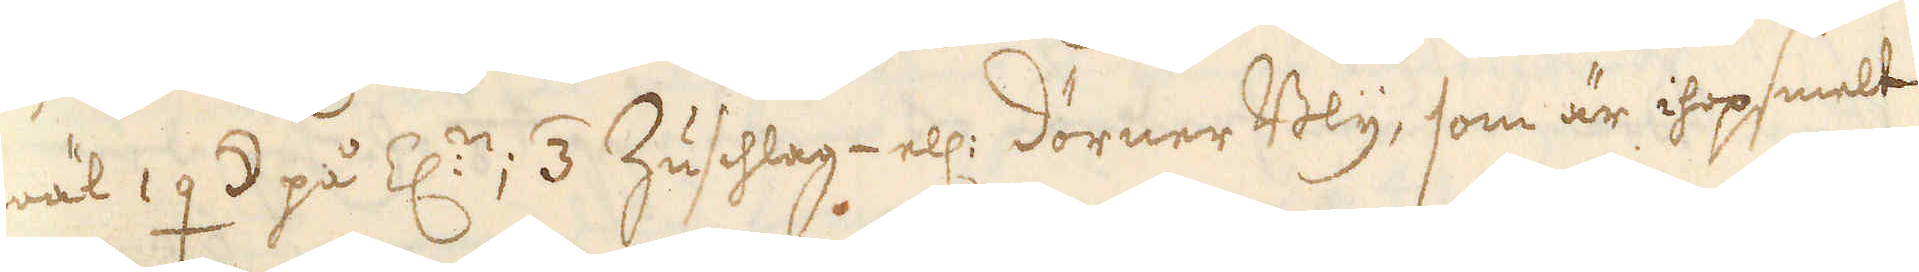wäl 1 q ☽ på Z:n, 3 Zuschlag- ell:r dörner Bly, som är ihopsmelt
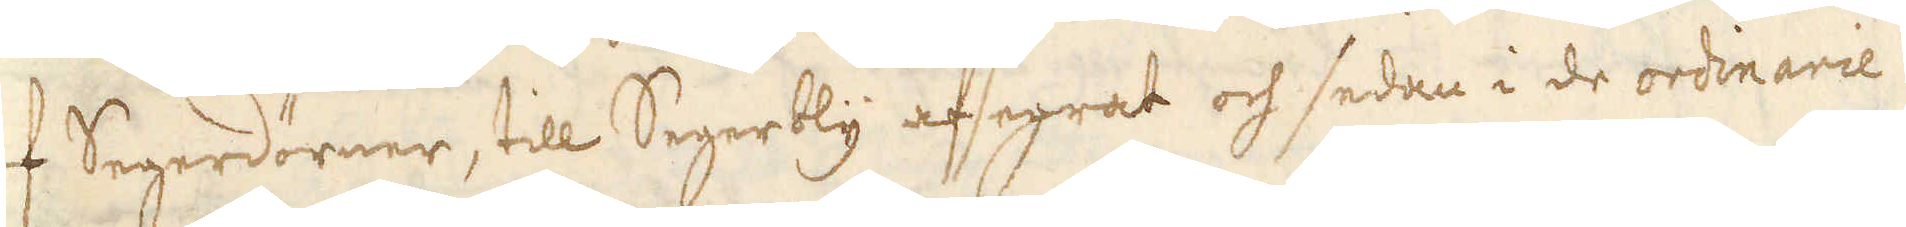af Segerdörner, till Segerbly afsegrat och sedan i de ordinarie
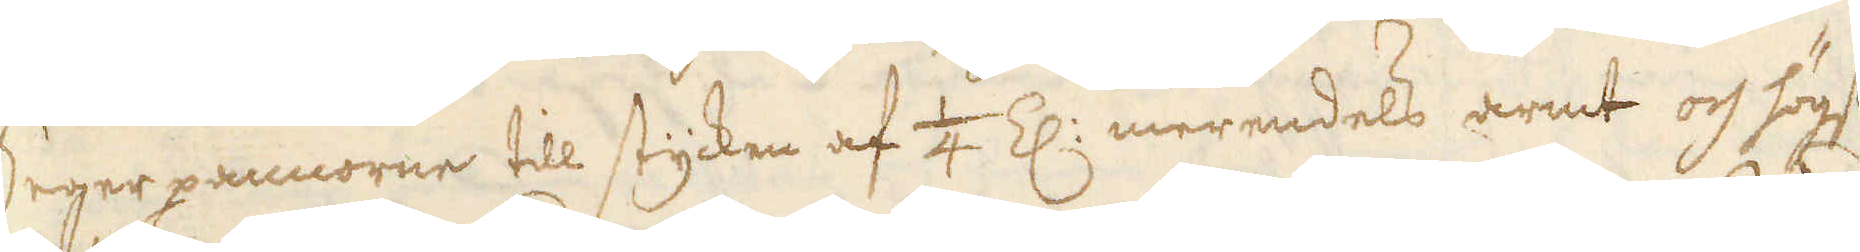Seger pannorne till stycken af 1/4 Z: merendels armt och högst
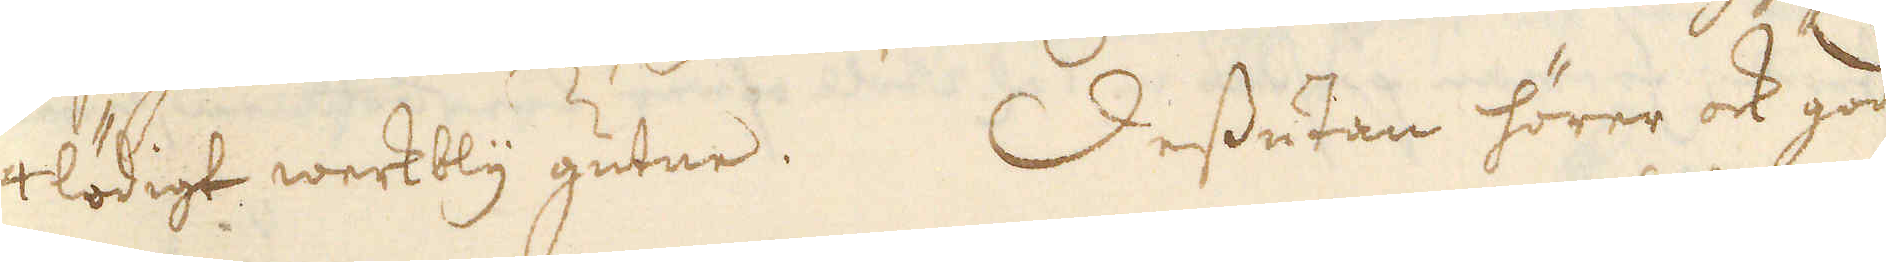4 lödigt werkbly gutne. Dessutan hörer ock god
